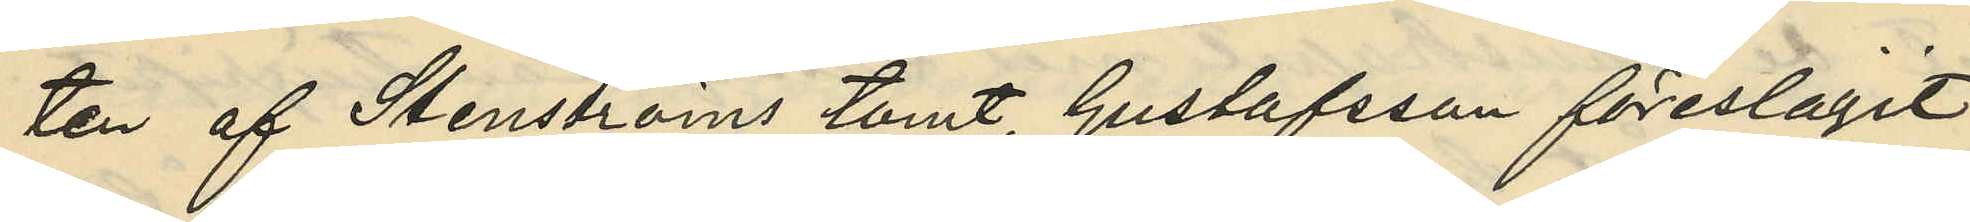ten af Stenströms tomt, Gustafsson föreslagit
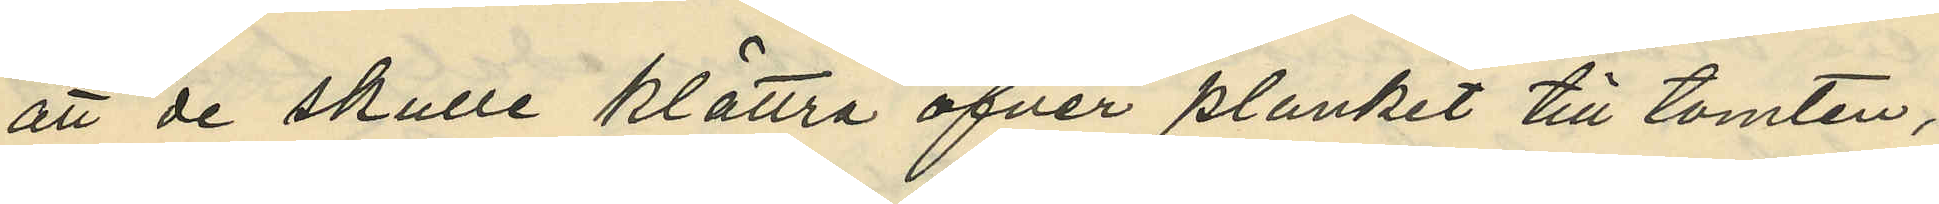att de skulle klättra öfver planket till tomten,
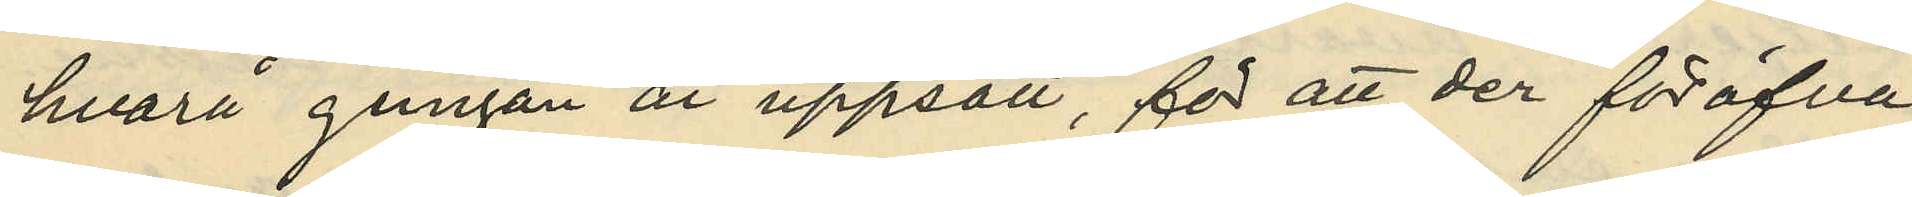hvarå gungan är uppsatt, för att der föröfva
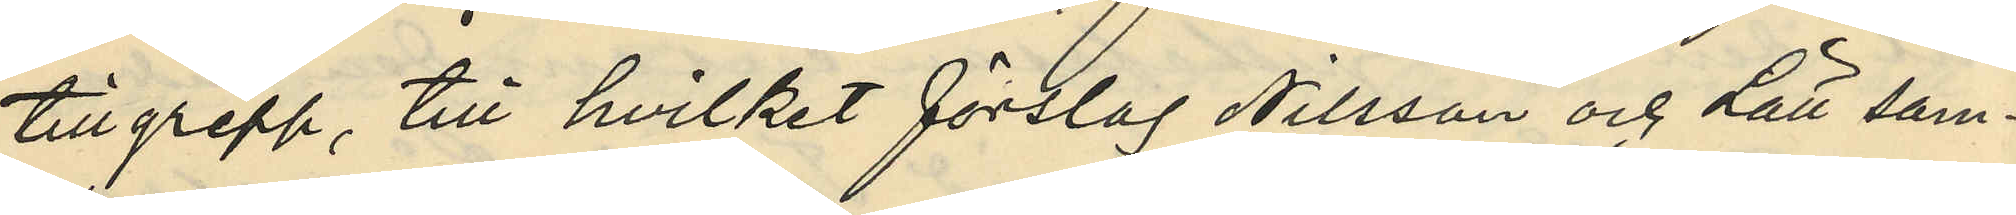tillgrepp, till hvilket förslag Nilsson och Lätt sam¬
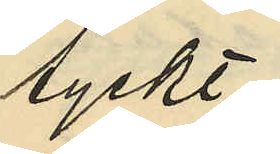lyckt;
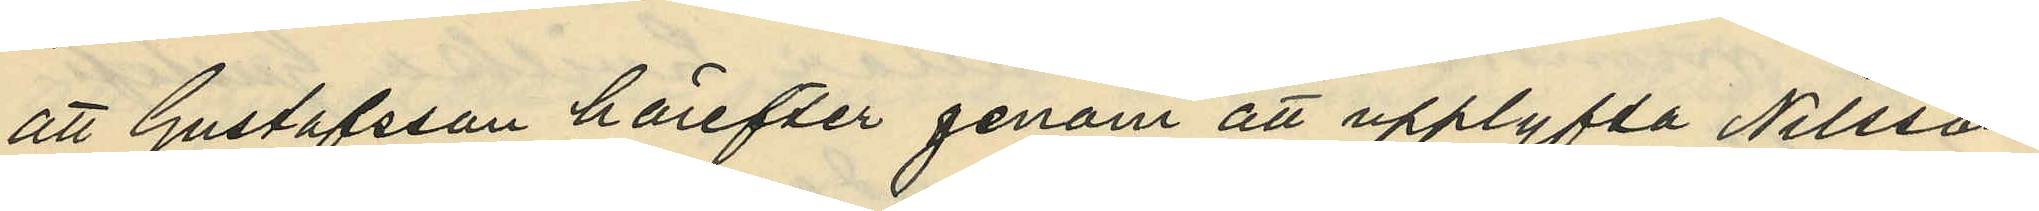att Gustafsson härefter genom att upplyfta Nilsson
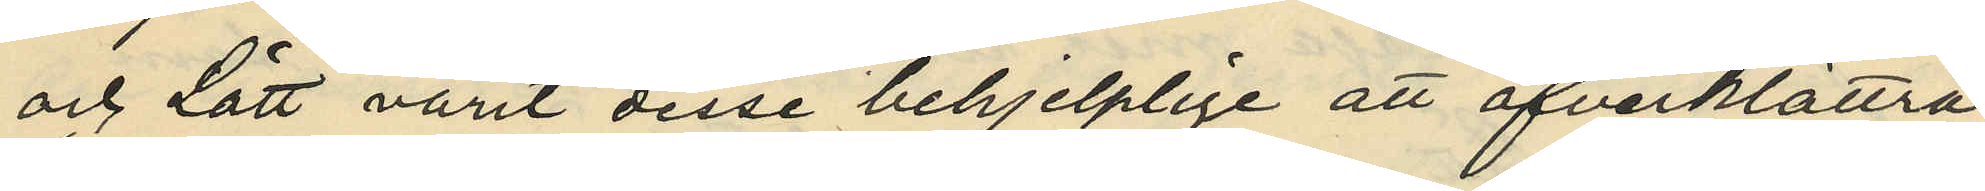och Lätt varit desse behjelplige att öfverklättra
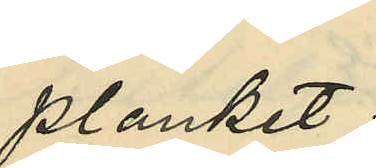planket;
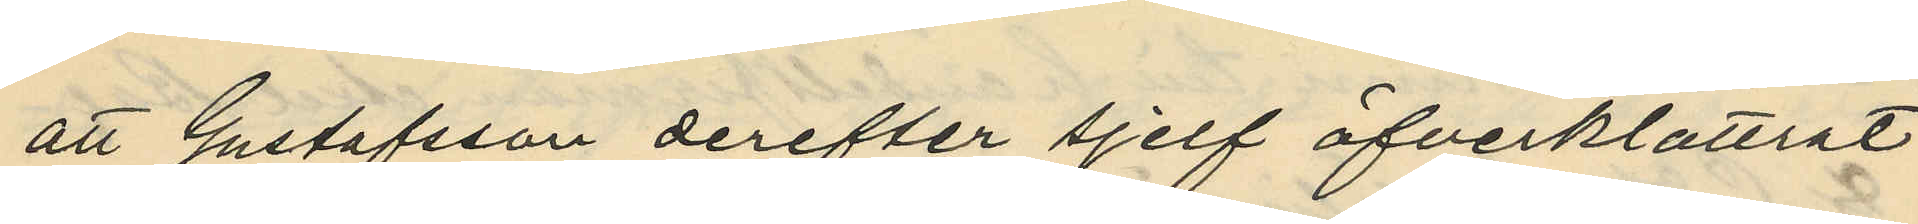att Gustafsson derefter sjelf öfverklättrat
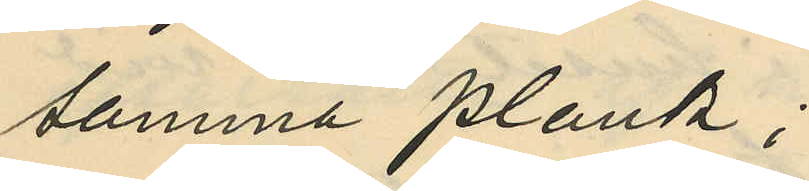samma plank;
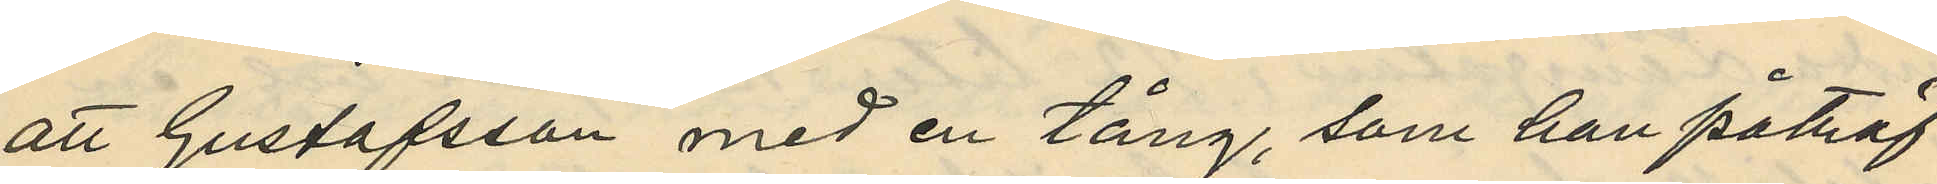att Gustafsson med en tång, som han påträf¬
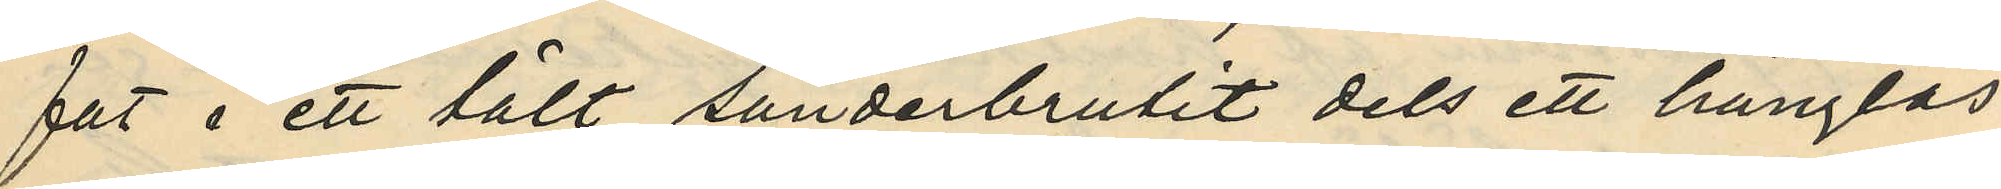fat i ett tält sönderbrutit dels ett hänglås
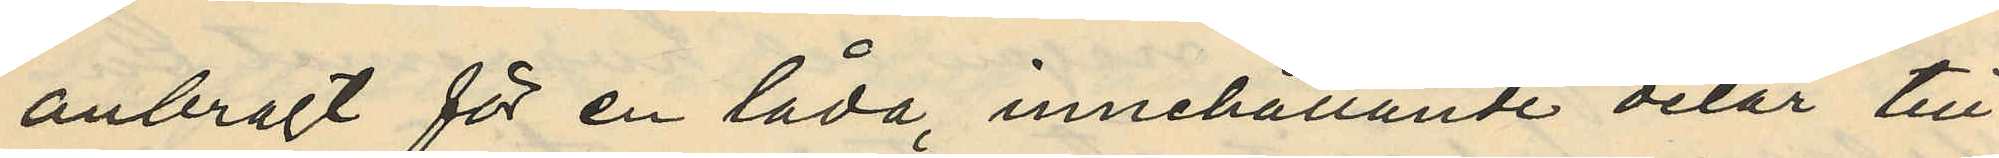anbragt för en låda, innehållande delar till
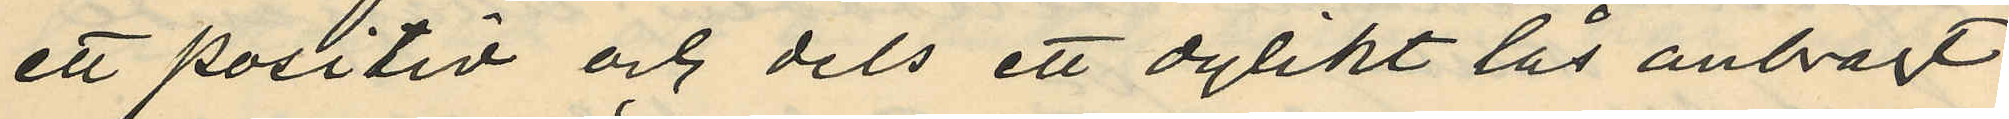ett positiv och dels ett dylikt lås anbragt
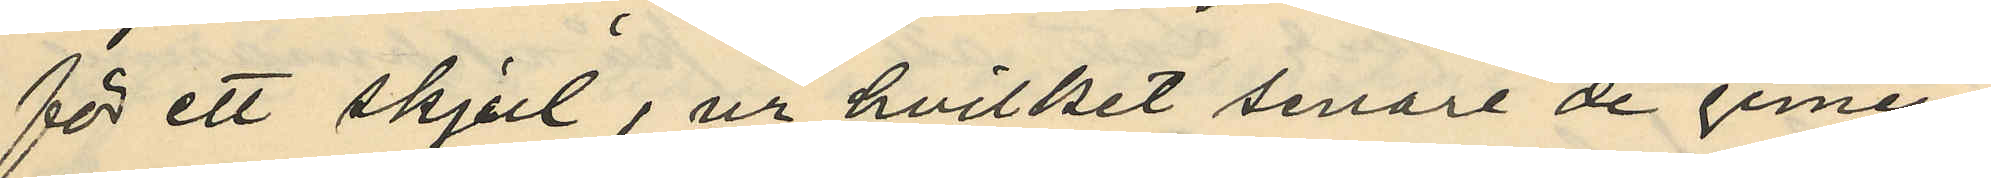för ett skjul, ur hvilket senare de gemen¬
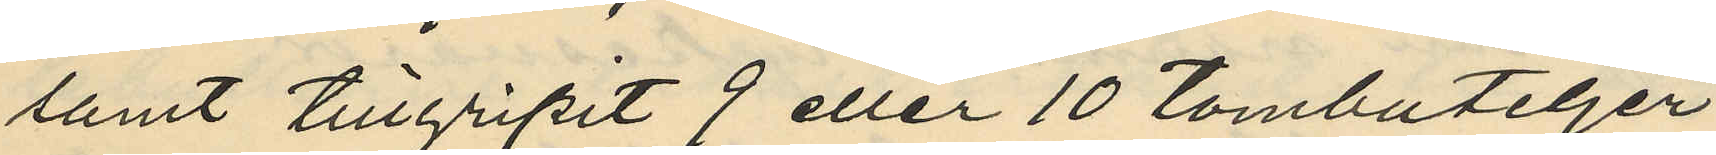samt tillgripit 9 eller 10 tombuteljer
